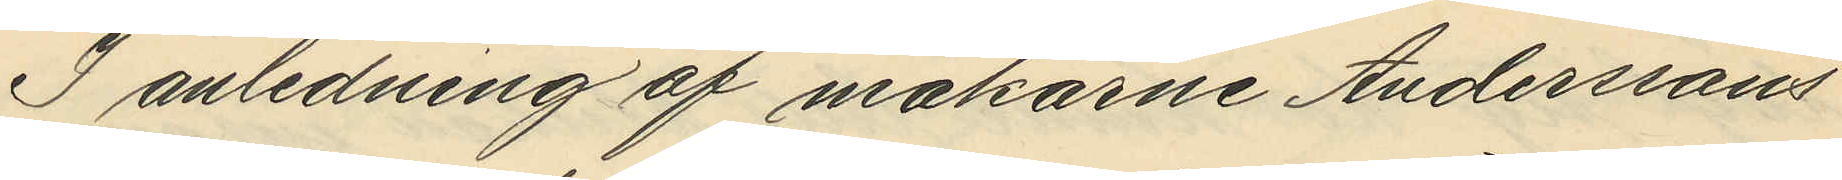I anledning af makarne Anderssons
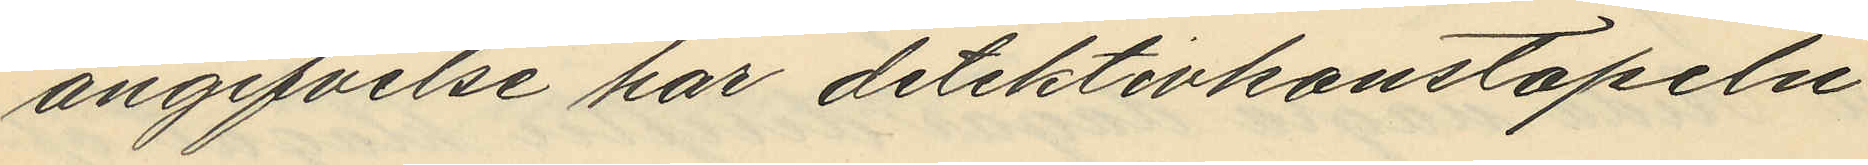angifvelse har detektivkonstapeln
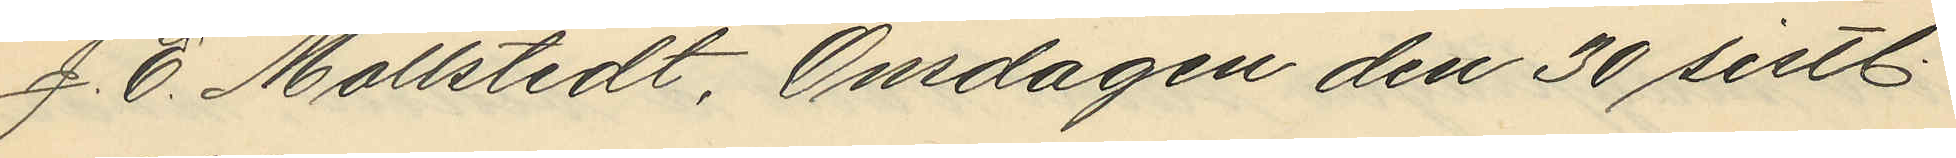J. E. Mollstedt, Onsdagen den 30 sistl
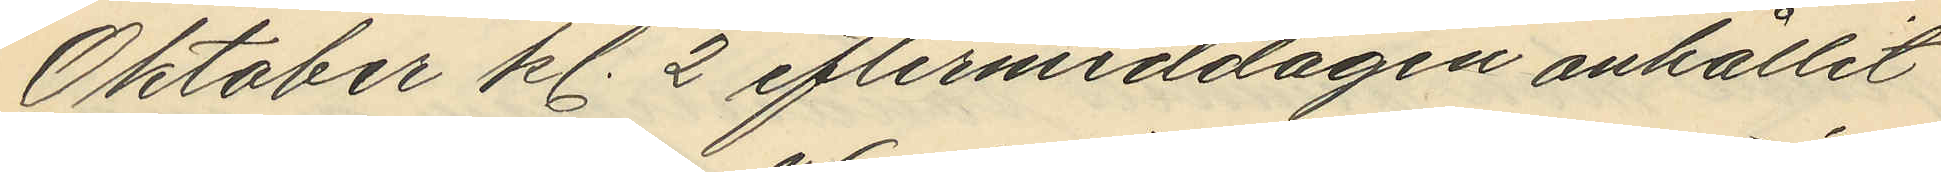Oktober kl. 2 eftermiddagen anhållit
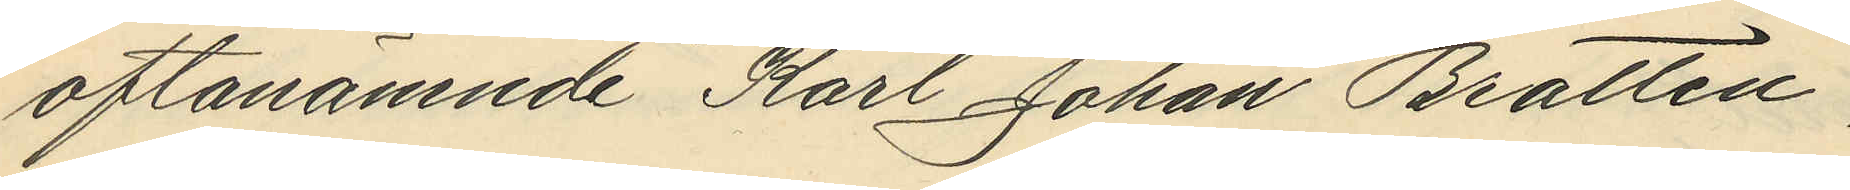oftanämnde Karl Johan Brattén
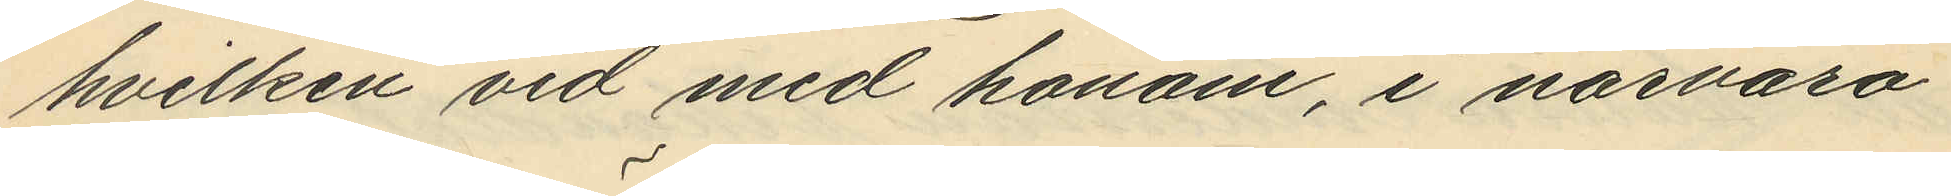hvilken vid med honom, i närvaro
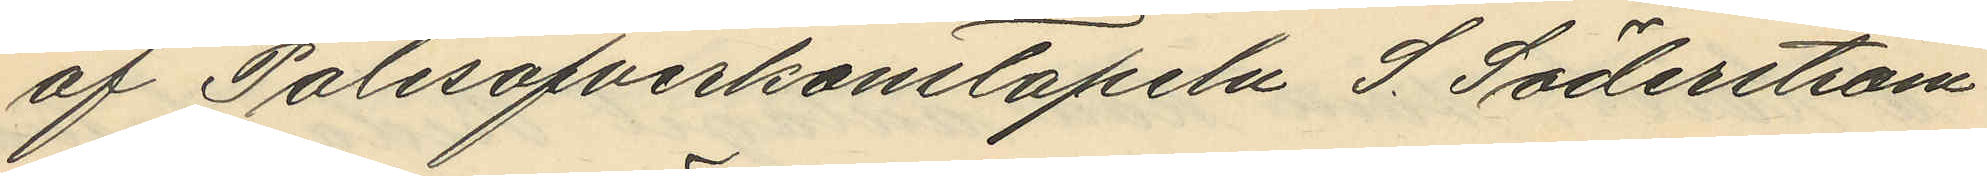af Polisöfverkonstapeln J. Söderström
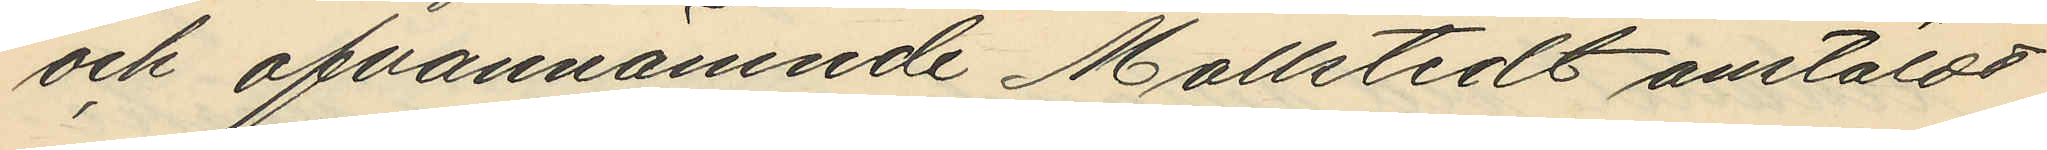och ofvannämnde Mollstedt anstäldt
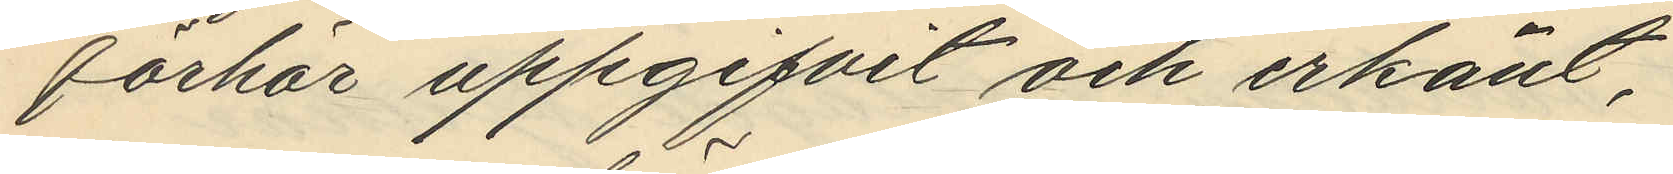förhör uppgifvit och erkänt,
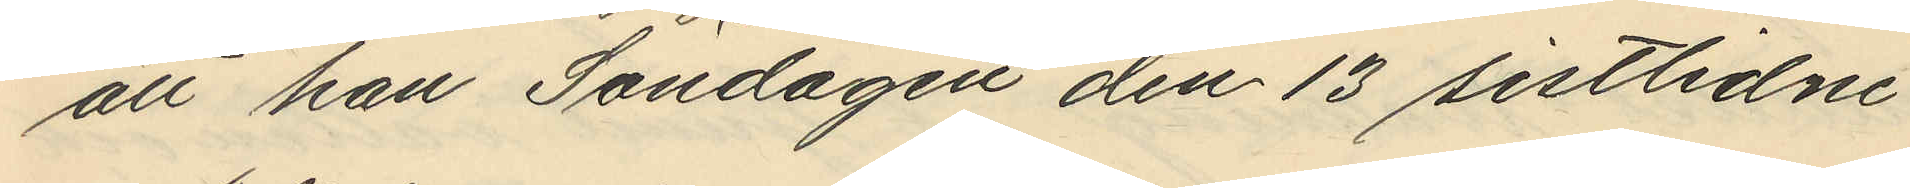att han Söndagen den 13 sistlidne
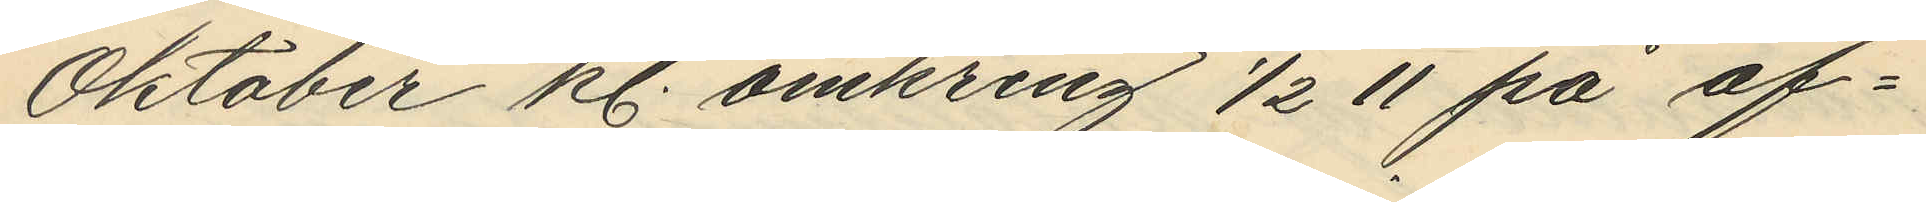Oktober kl. omkring 1/2 11 på af¬
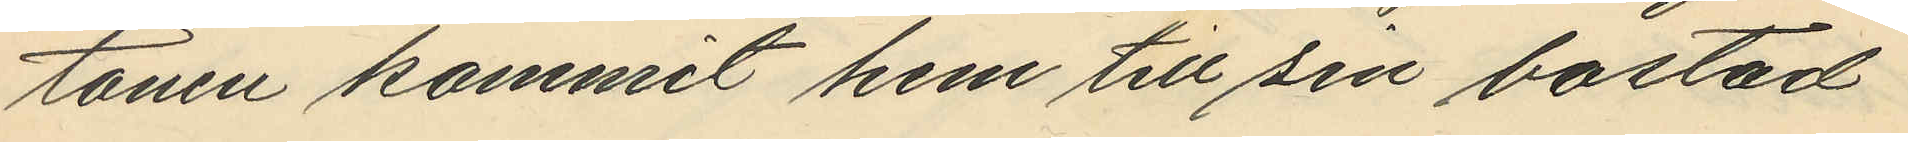tonen kommit hem till sin bostad
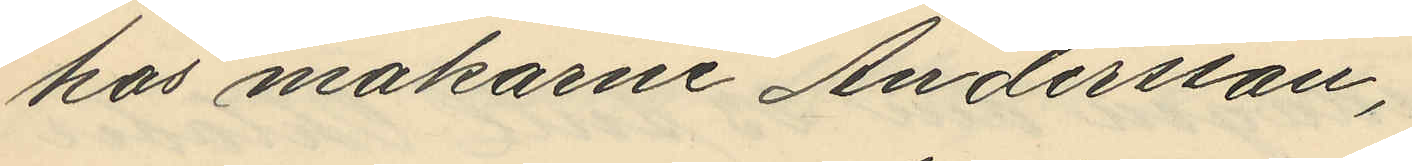hos makarne Andersson,
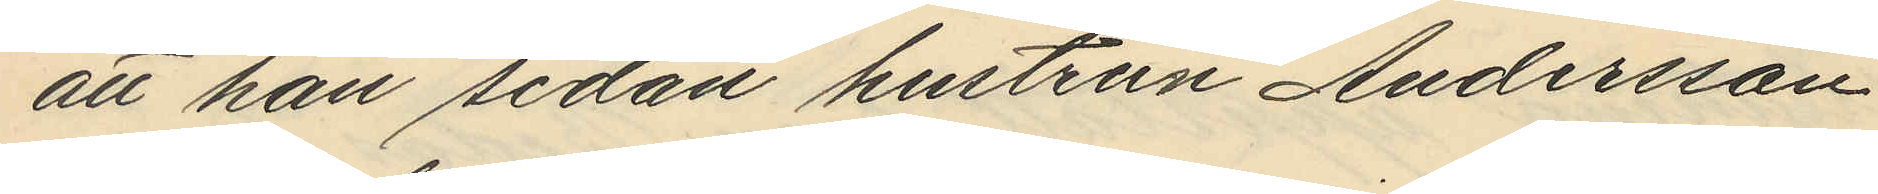att han sedan hustrun Andersson
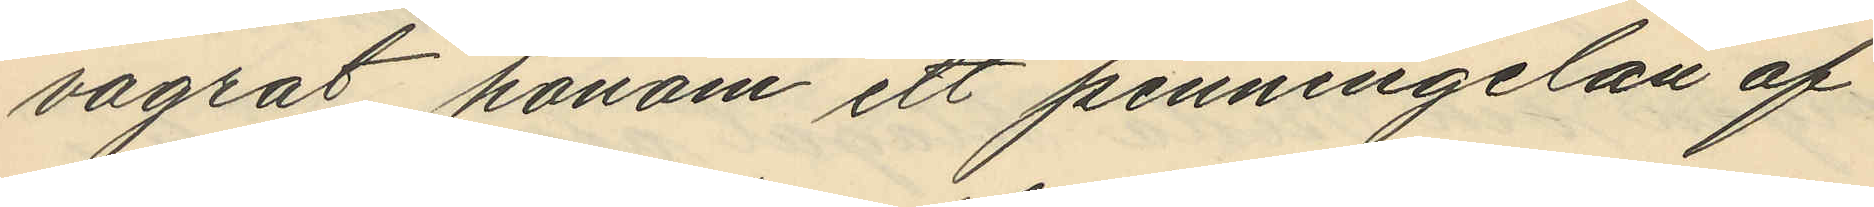vägrat honom ett penningelån af
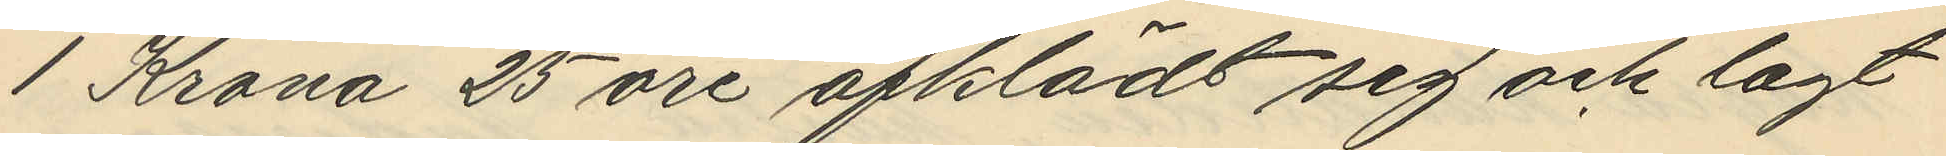1 Krona 25 öre afklädt sig och lagt
